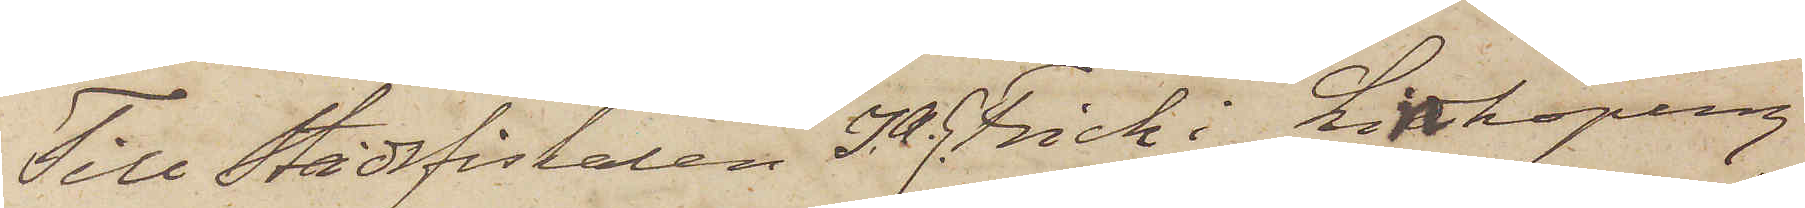Till Stadsfiskalen I. A. G. Frick i Linköping
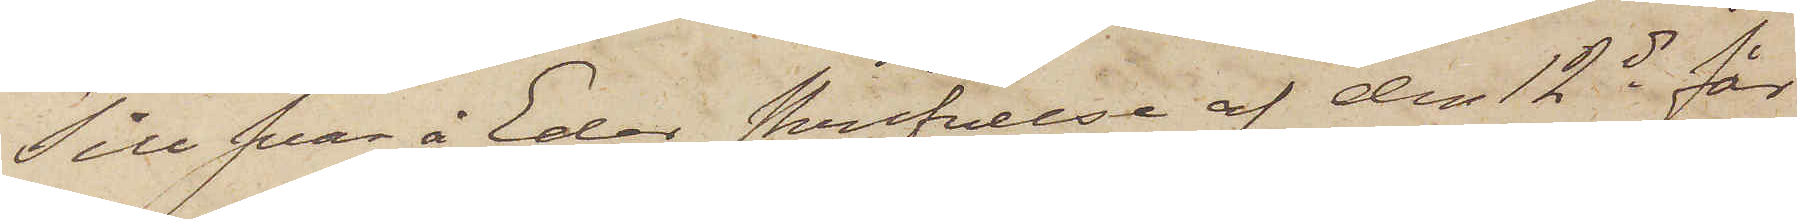Till svar å Eder skrifvelse af den 12 ds får
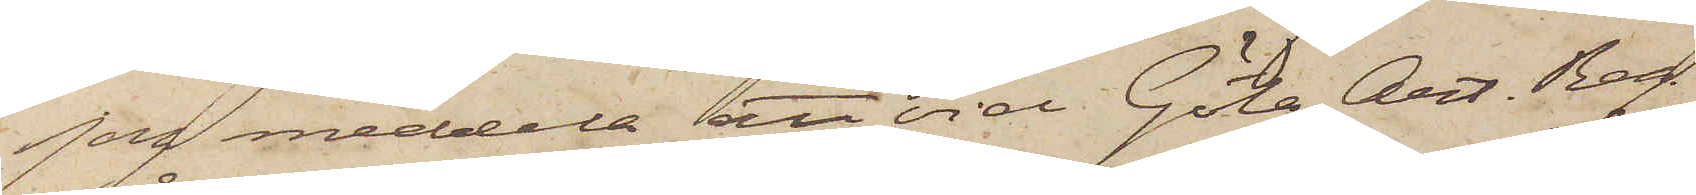jag meddela att vid Göta Art. Reg.
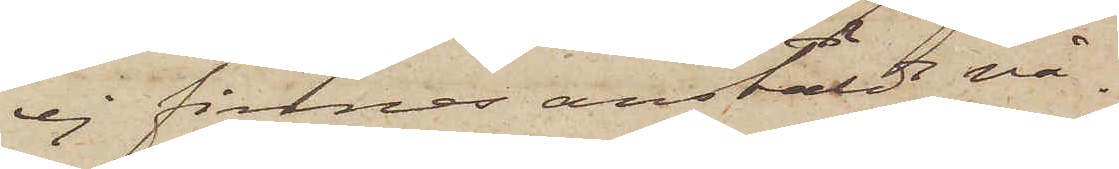ej finnas anstäldt nå¬
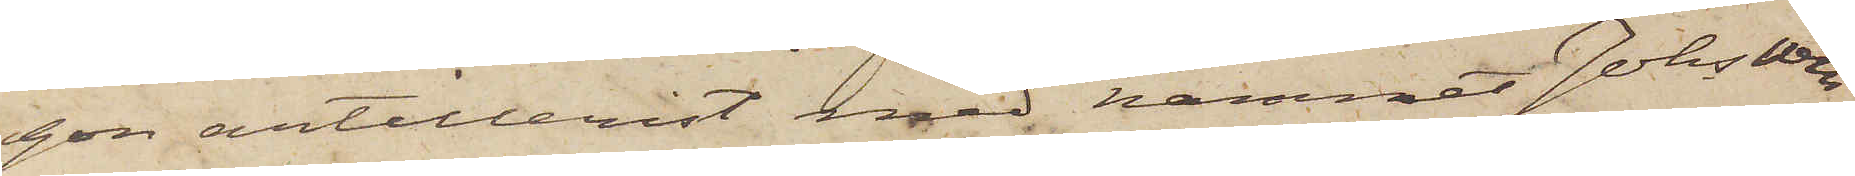gon artillerist med namnet Johs Wen¬
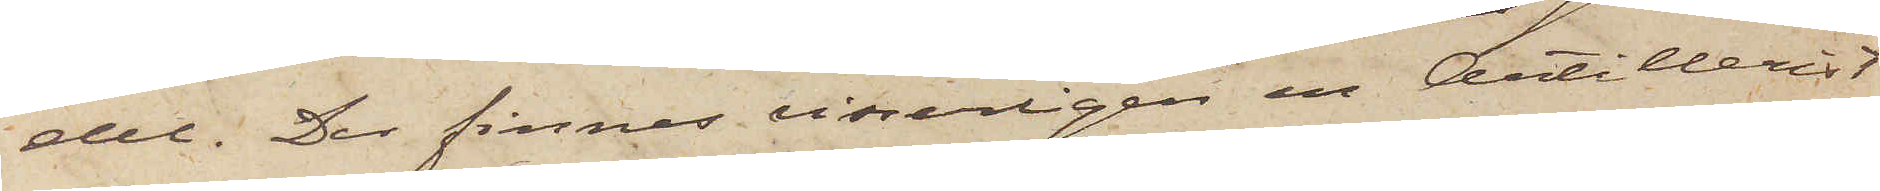del. Der finnes visserligen en Artillerist
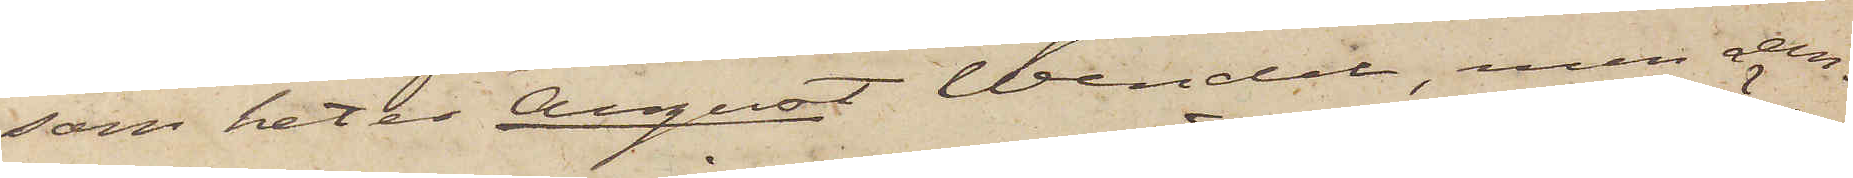som heter August Wendel, men den¬
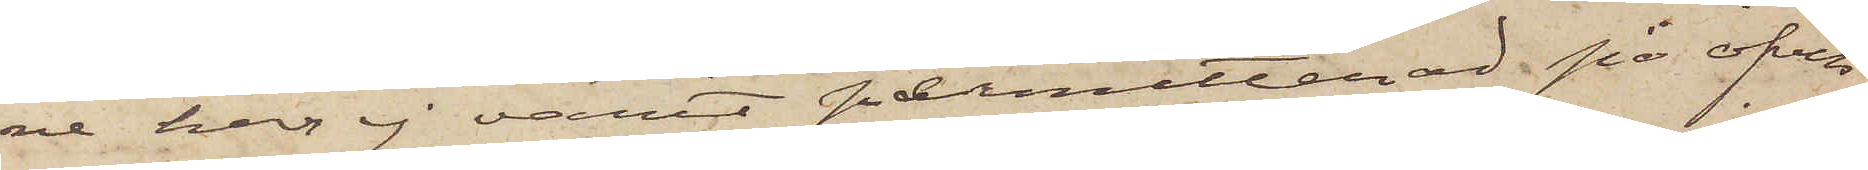ne har ej varit permitterad på öfver
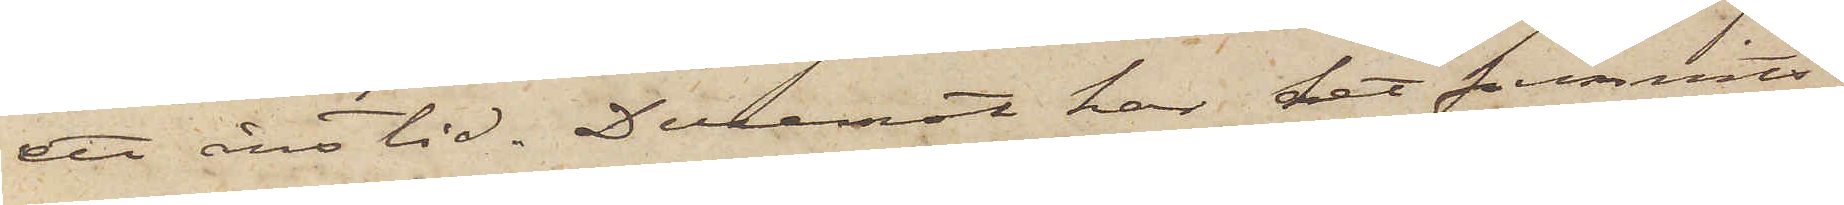ett års tid. Däremot har det funnits
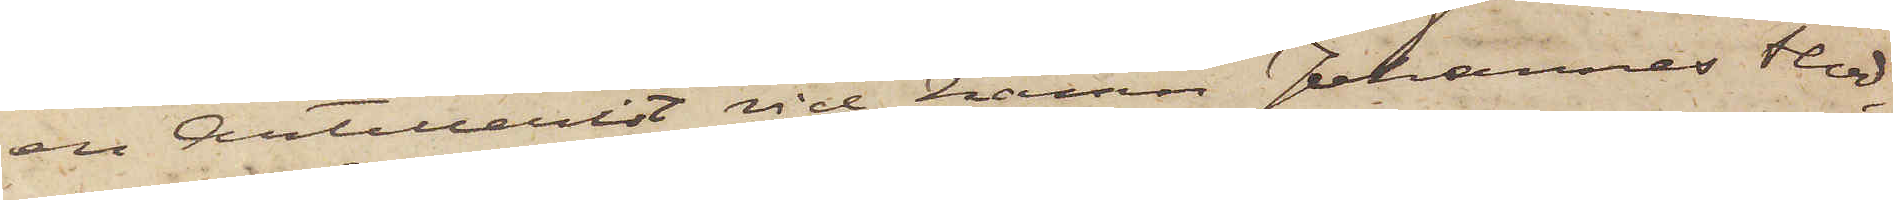en Artillerist vid namn Johannes Flod,
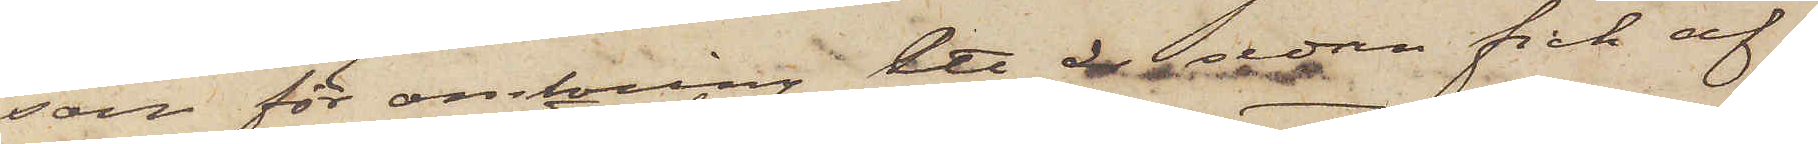som för omkring ett år sedan fick af¬
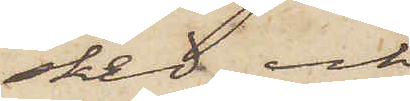sked och
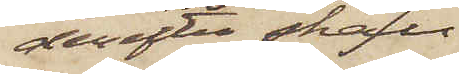derefter skall
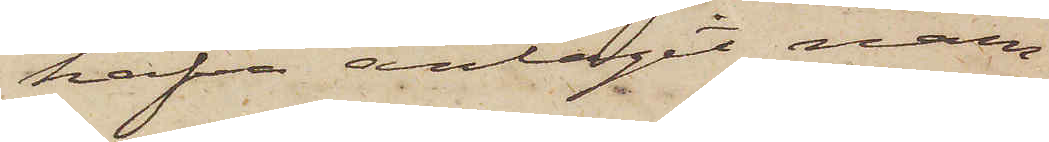hafva antagit nam¬
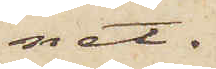net
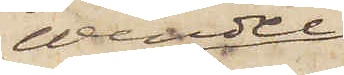Wendel.
